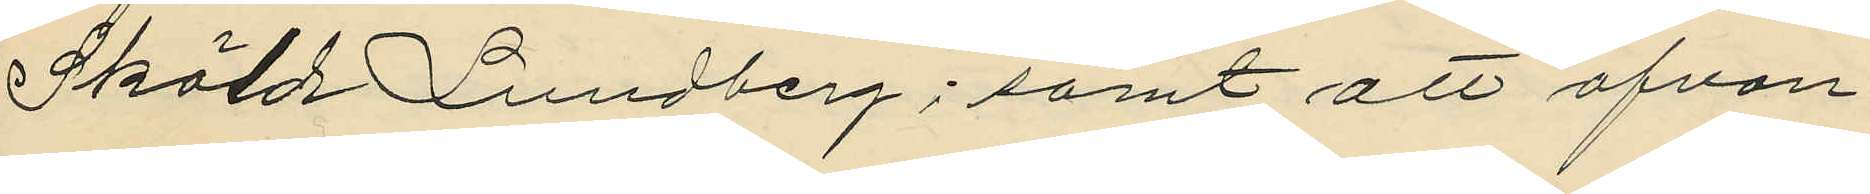Sköld Lundberg; samt att ofvan¬
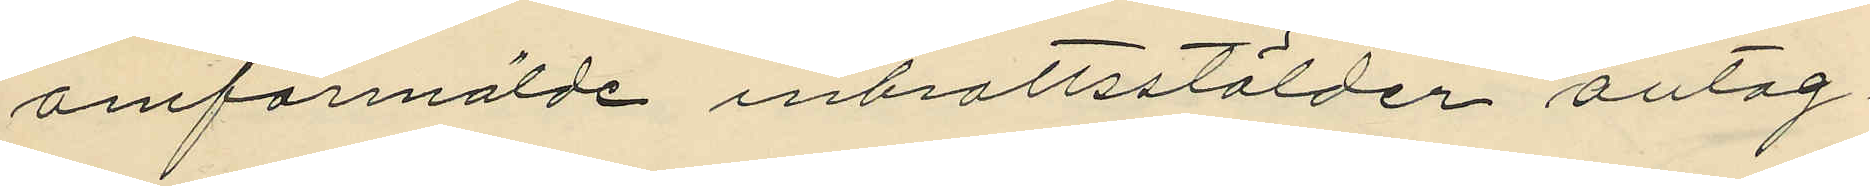omförmälde inbrottsstölder antag¬
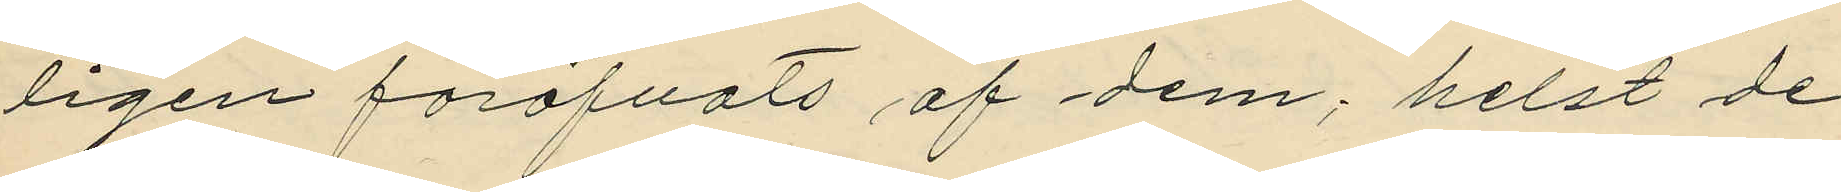ligen föröfvats af dem, helst de
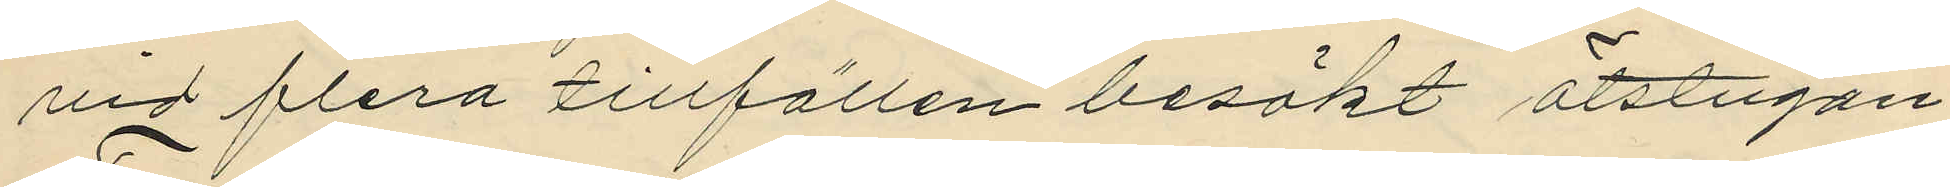vid flera tillfällen besökt ötstugan
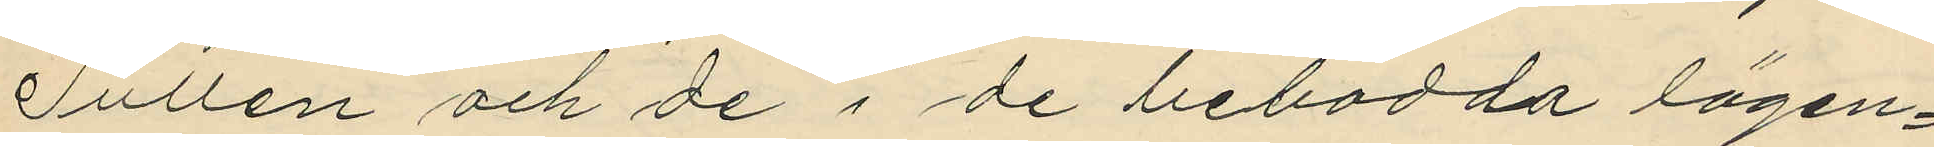Tullen och de i de bebodda lägen¬
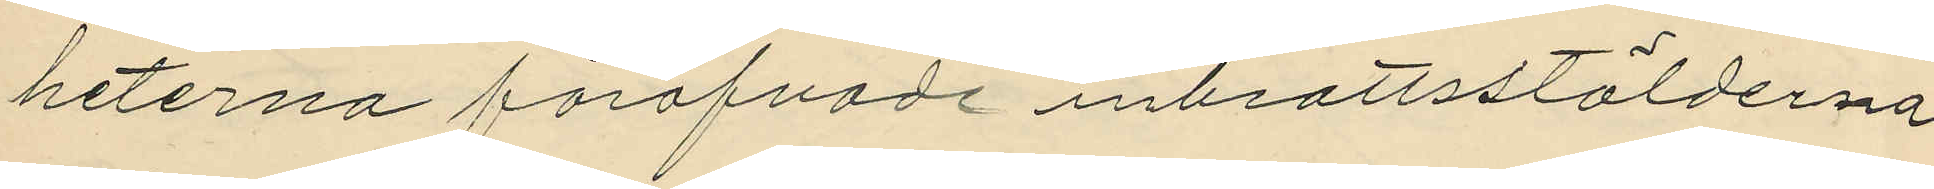heterna föröfvade inbrottsstölderna
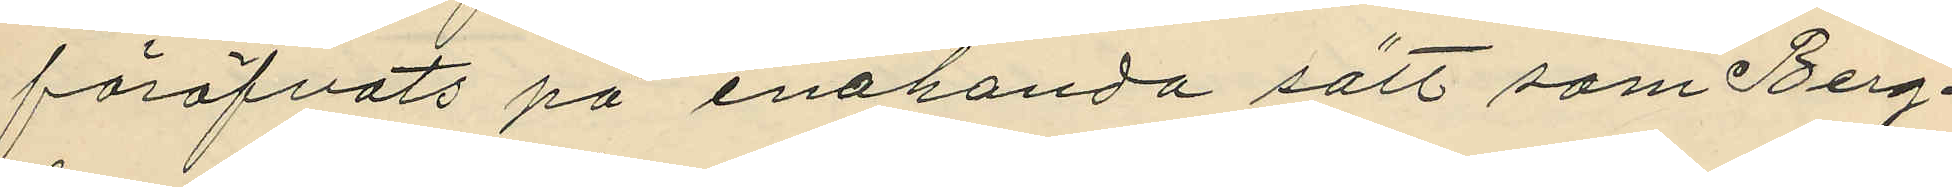föröfvats på enahanda sätt som Berg¬
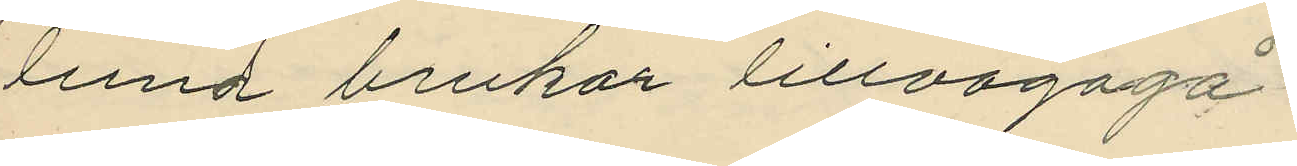lund brukar lillvägagå.
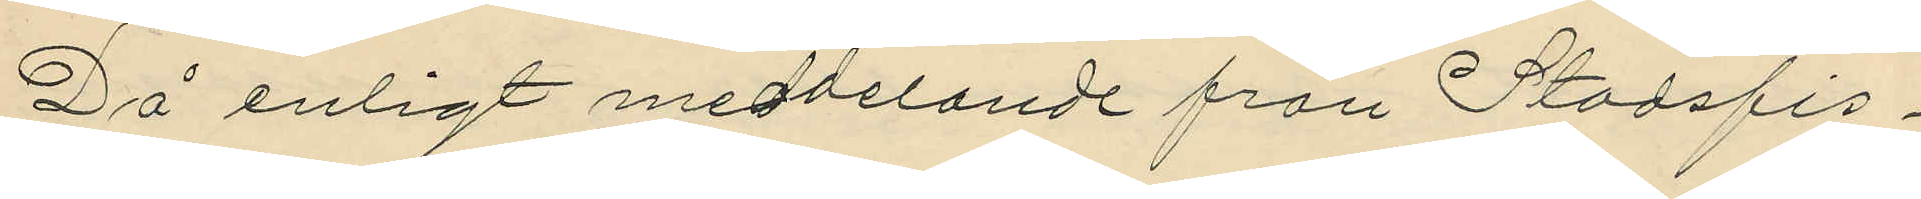Då enligt meddelande från Stadsfis¬
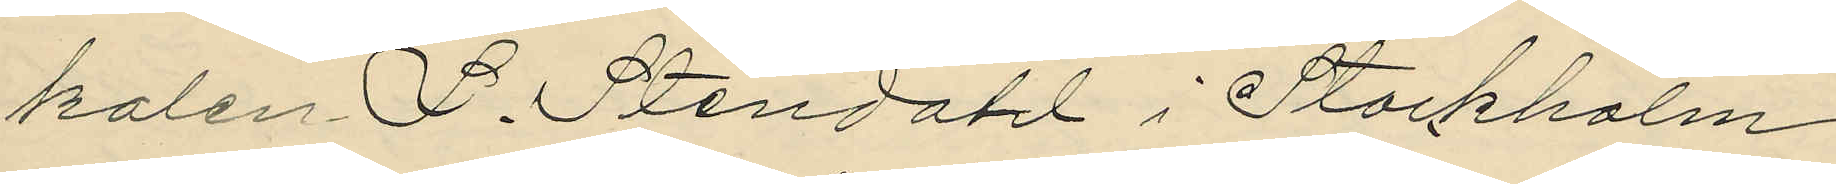kalen L. Stendahl i Stockholm
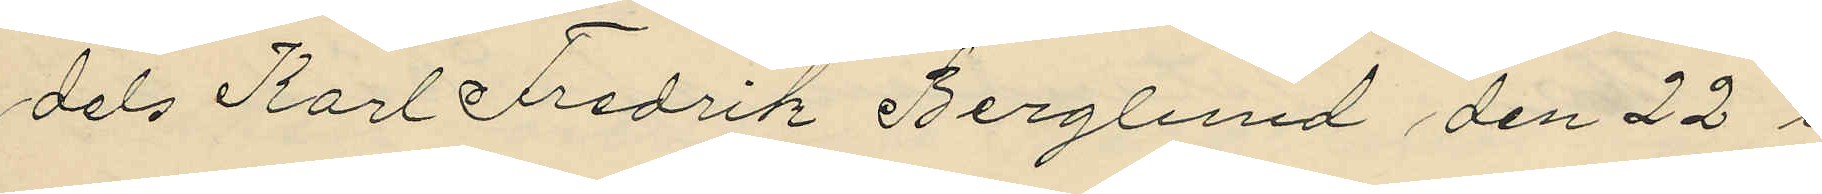dels Karl Fredrik Berglund den 22 i
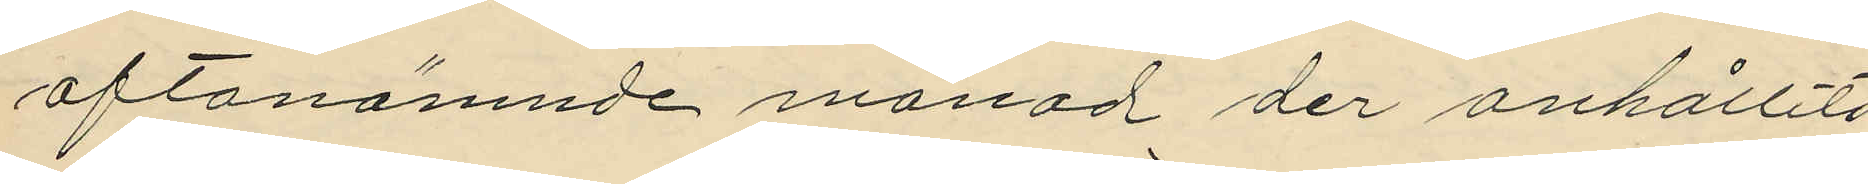oftanämnde månad der anhållits
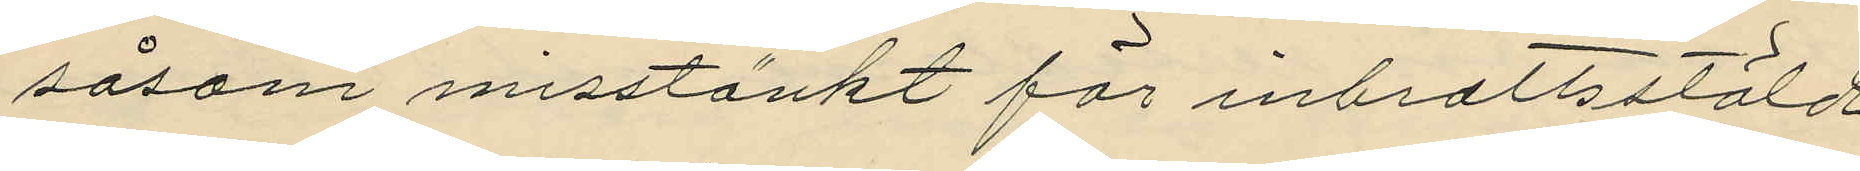såsom misstänkt för inbrottsstöld
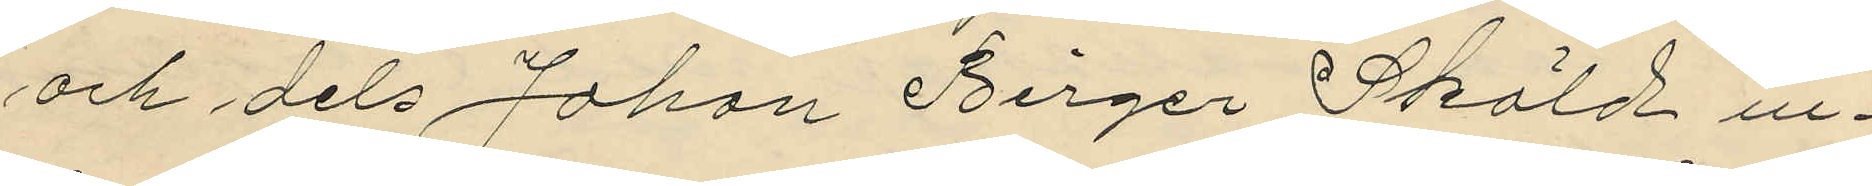och dels Johan Birger Sköld in¬
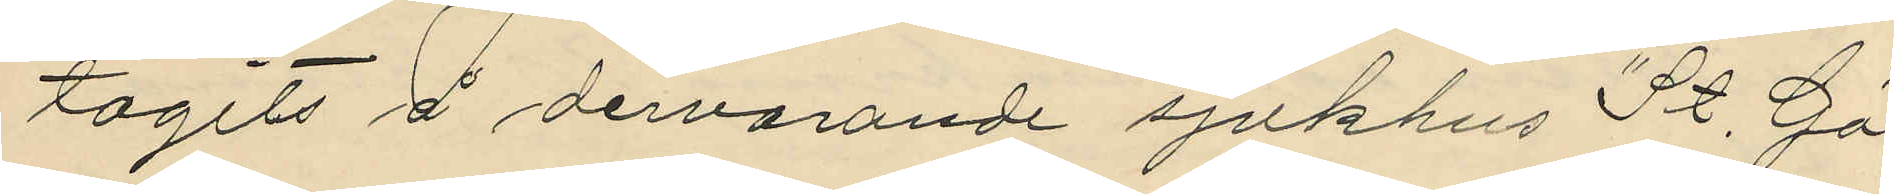tagits å dervarande sjukhus "St. Gö¬
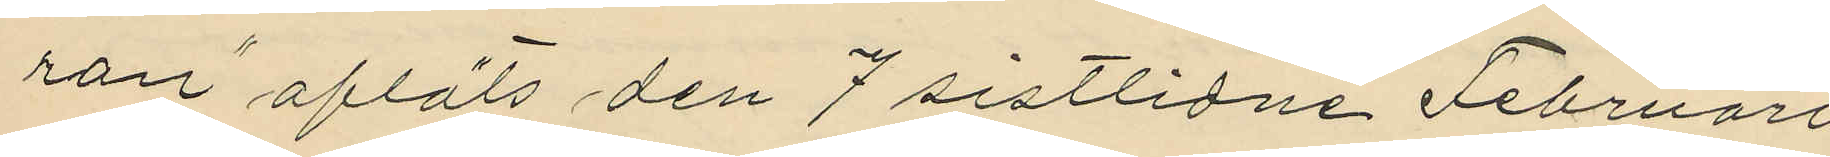ran" afläts den 7 sistlidne Februari
